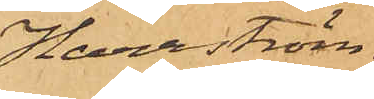Harrström.
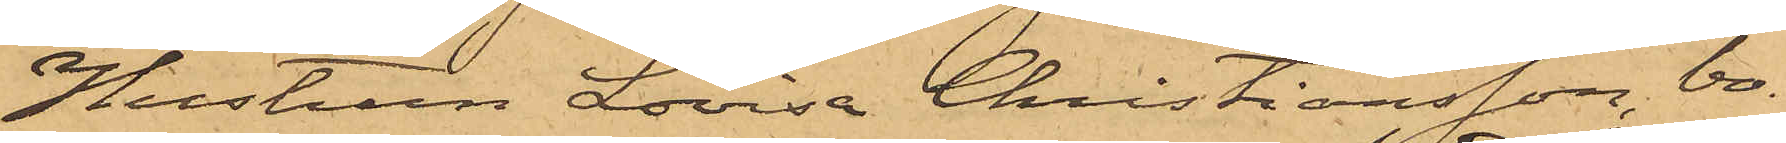Hustrun Lovisa Christiansson, bo¬
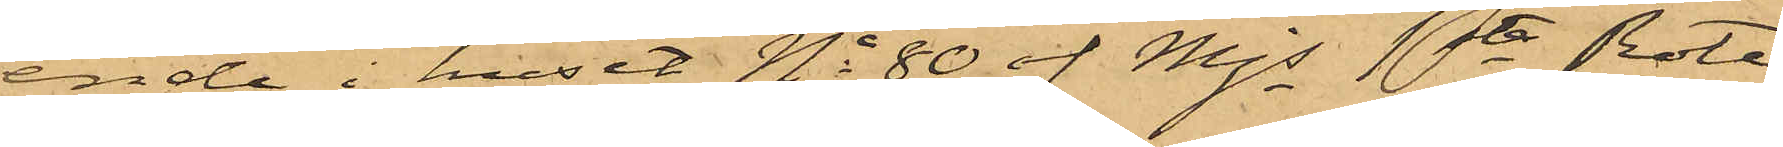ende i huset No 80 af Mjs 1ste Rote,
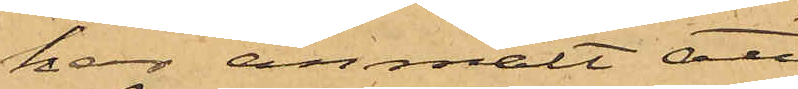har anmält att
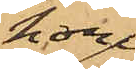hon
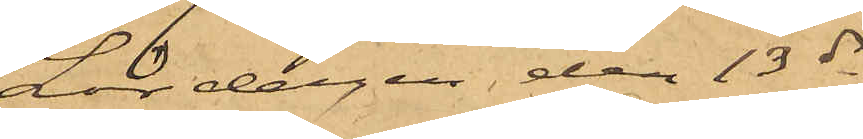Lördagen den 13 ds
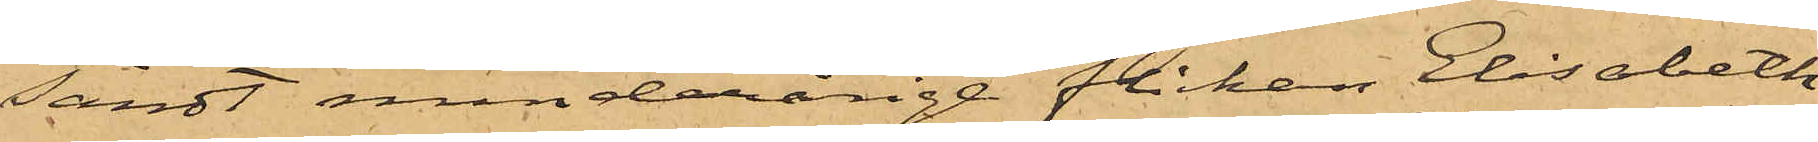sändt minderårige flickan Elisabeth
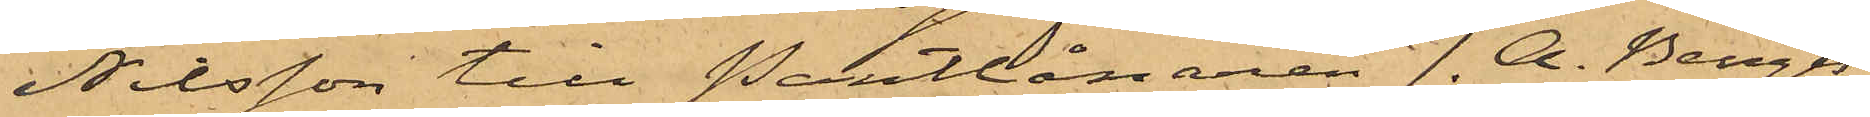Nilsson till Pantlånaren J. A. Bengts¬
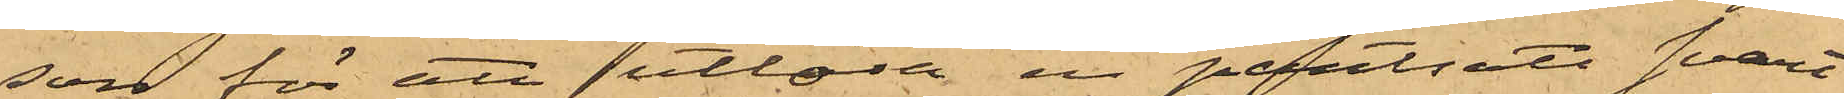son för att utlösa en pantsatt svart
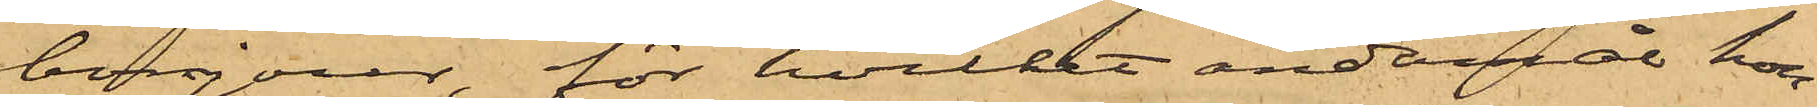bonjour, för hvilket ändamål hon
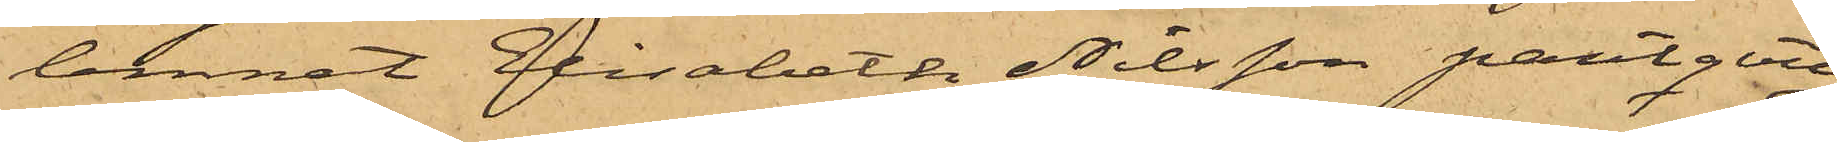lemnat Elisabeth Nilsson pantqvit¬
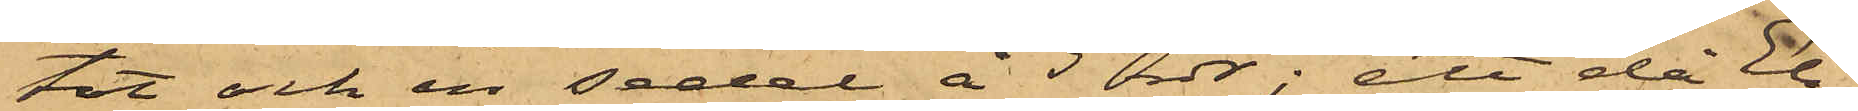tot och en sedel å 5 rdr; att då Eli¬
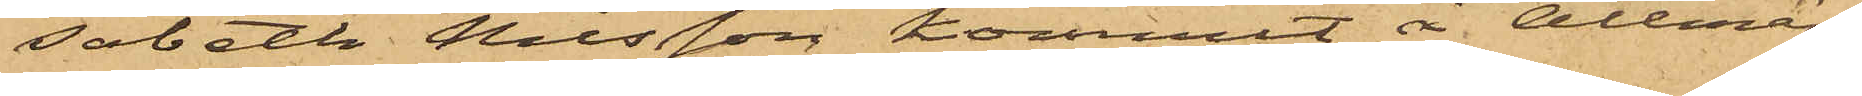sabeth Nilsson kommit å Allmän¬
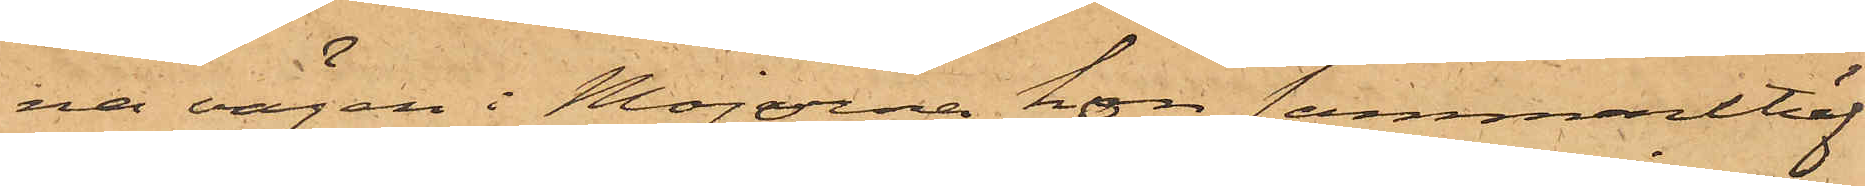na vägen i Majorna hon sammanträf¬
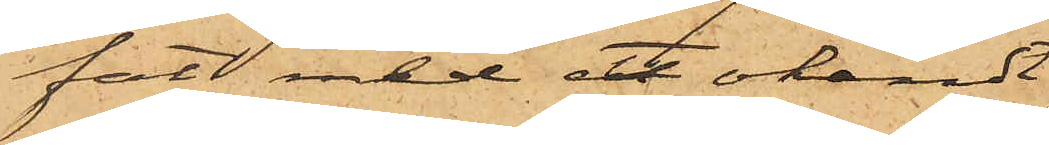fat med ett okändt
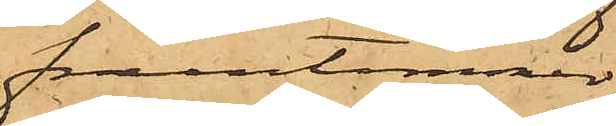fruntimmer
